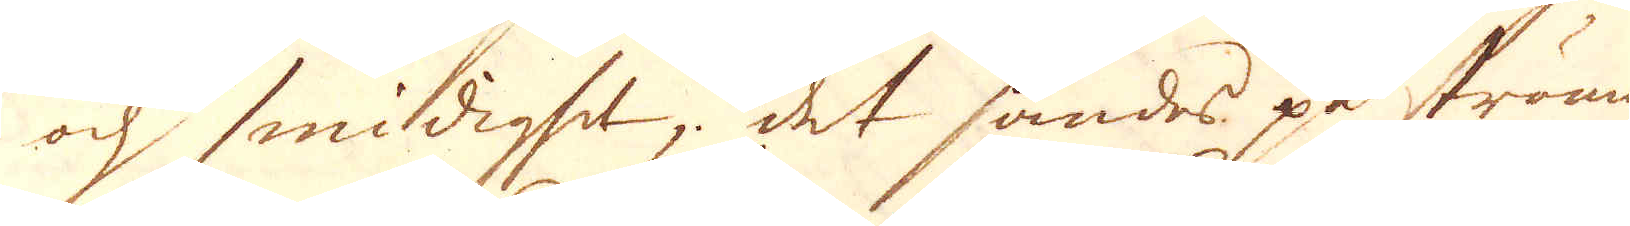och smidighet, det sändes på strömmen
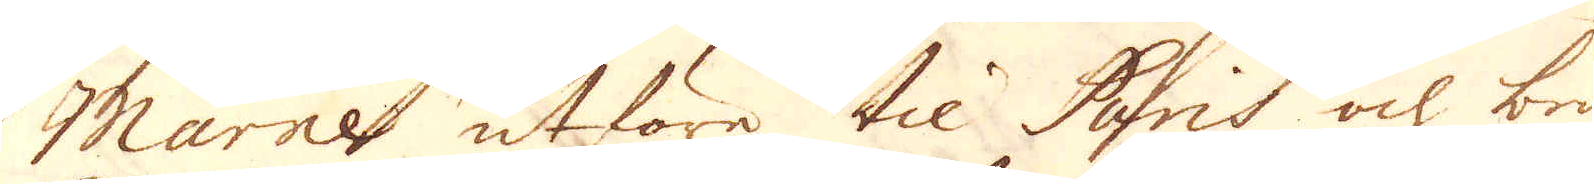Marne utföre til Paris och bru-
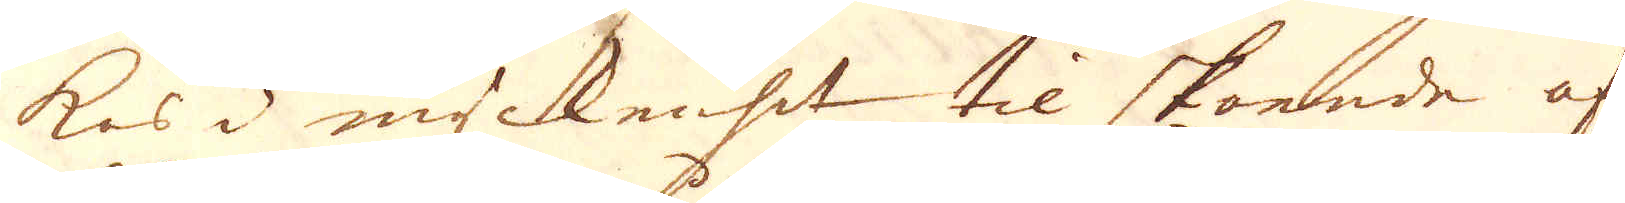kas 3 myckenhet til skoende af
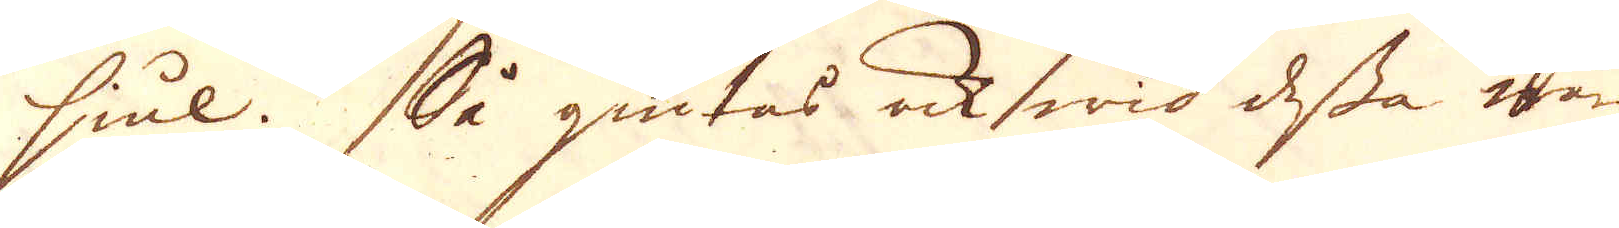hiul. Så giutes ock wid dessa wärk
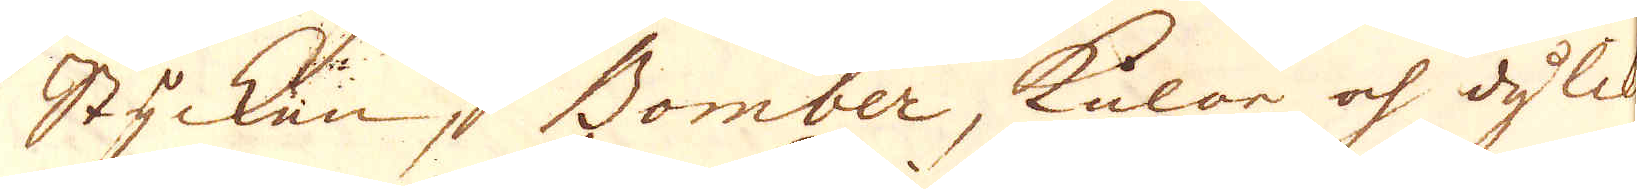Stycken, Bomber, kulor och dylikt
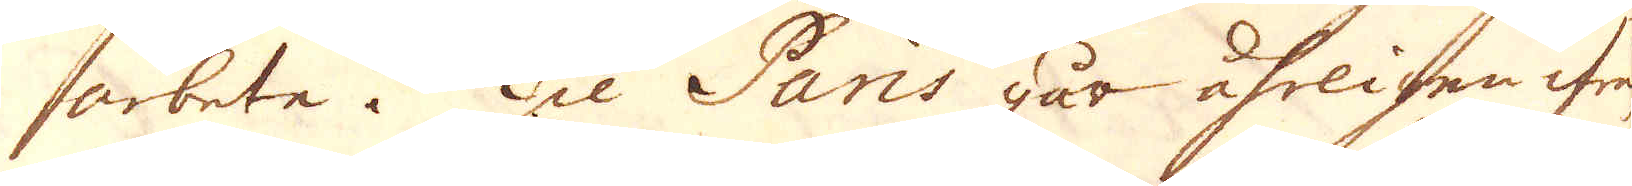arbete. Til Paris går åhrligen ifrån
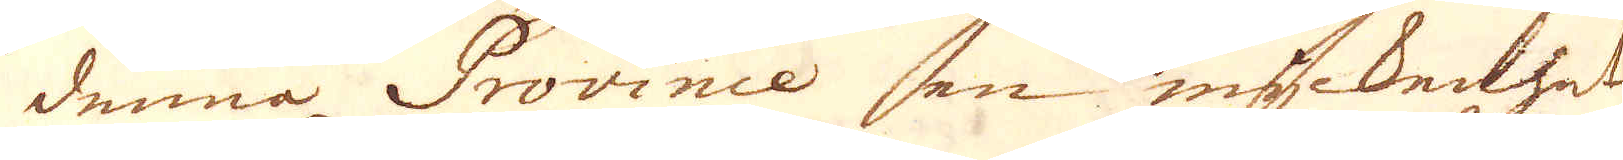denna Province en myckenhet
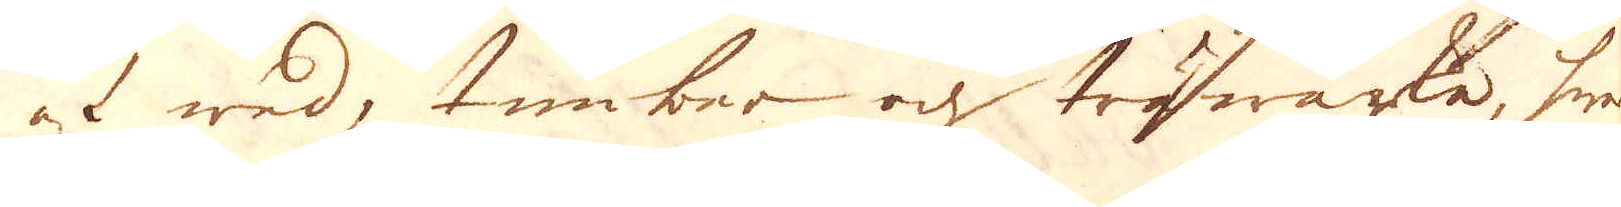af wed, timber och träwärke, hwar
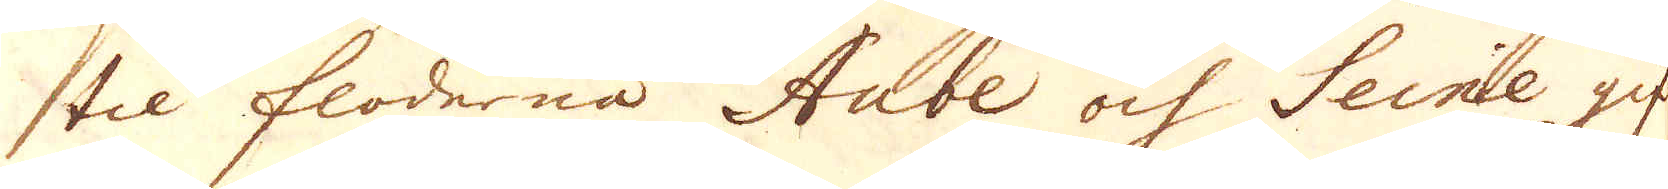til floderna Aube och Seine gif-
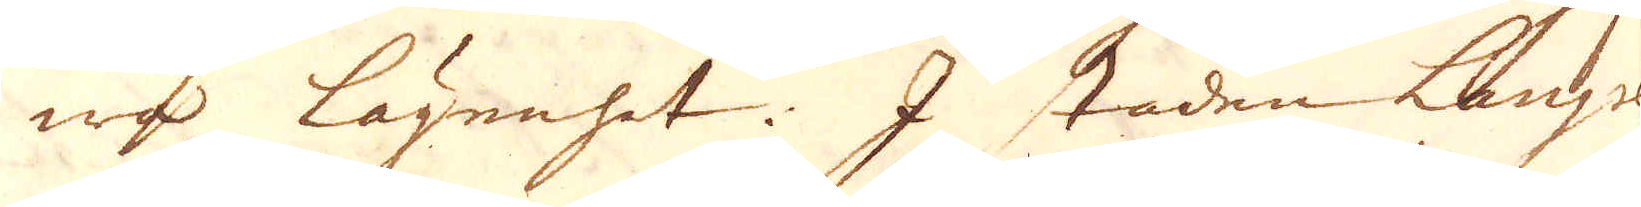wa lägenhet. I staden Lanjse
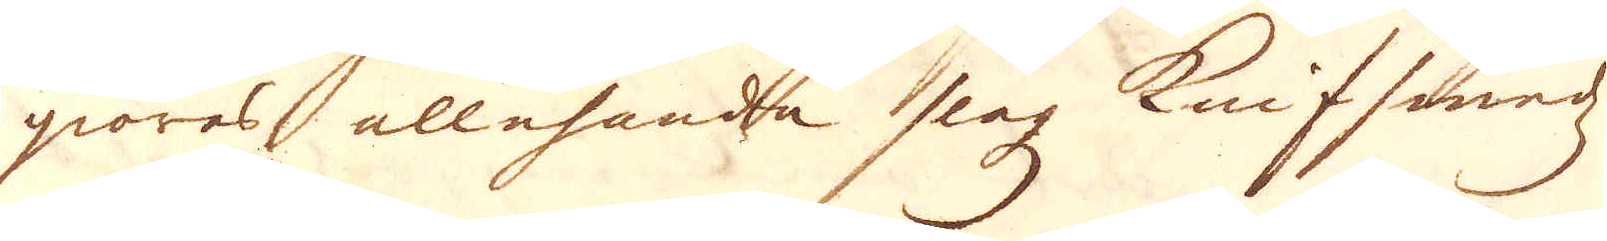giöras allehande slagz knifssmedz-
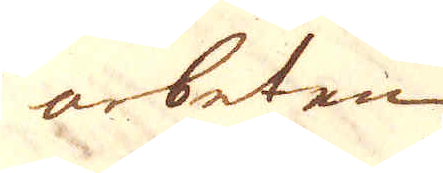arbeten.
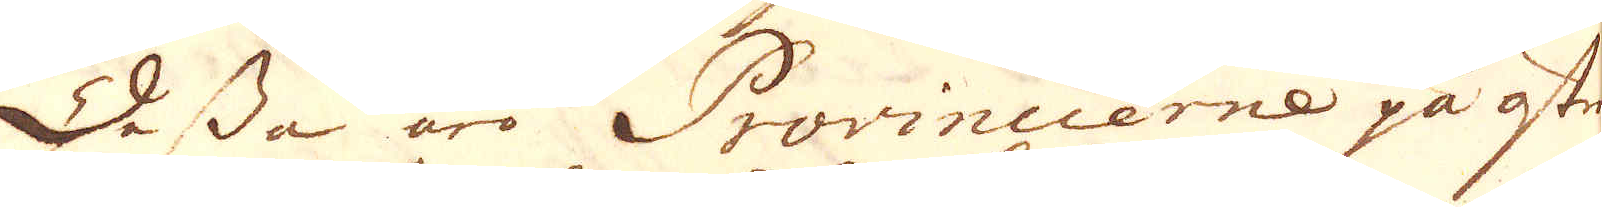Dessa äro Provincierne på öster
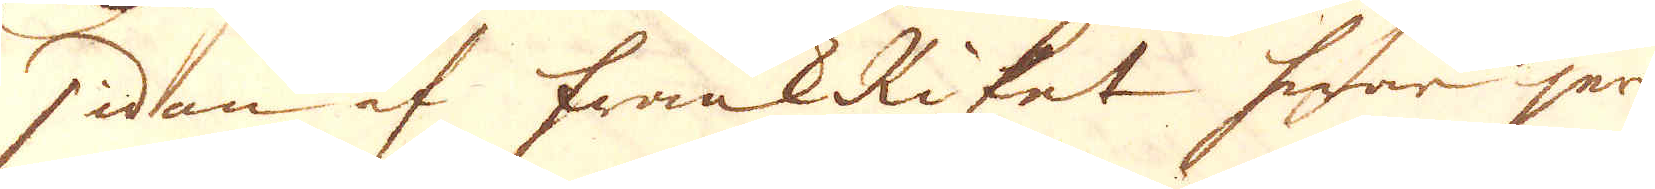sidan af FrankRiket hwar jern-
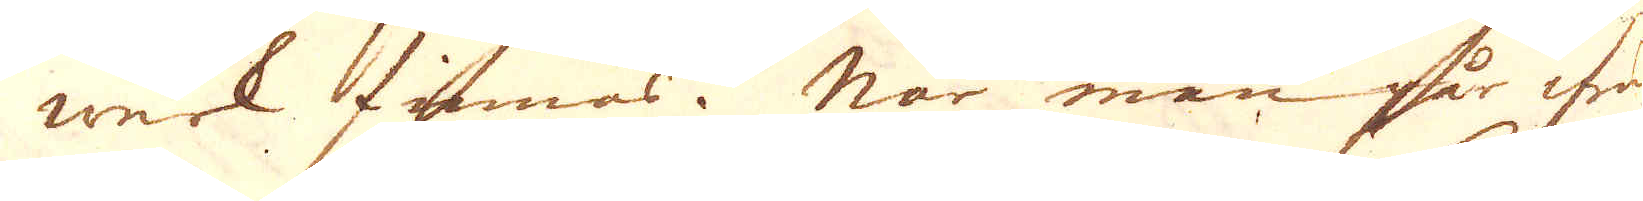werk finnas. När man går ifrån
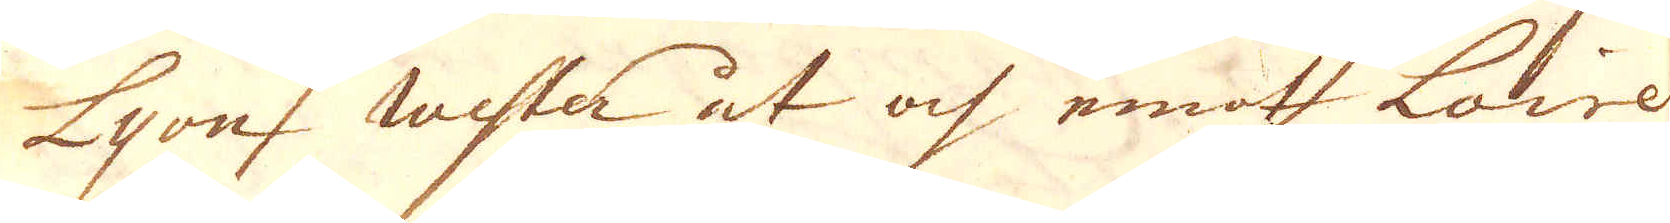Lyon wester ut och emot Loire
